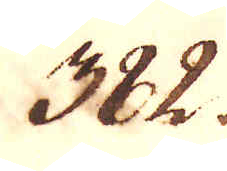382.
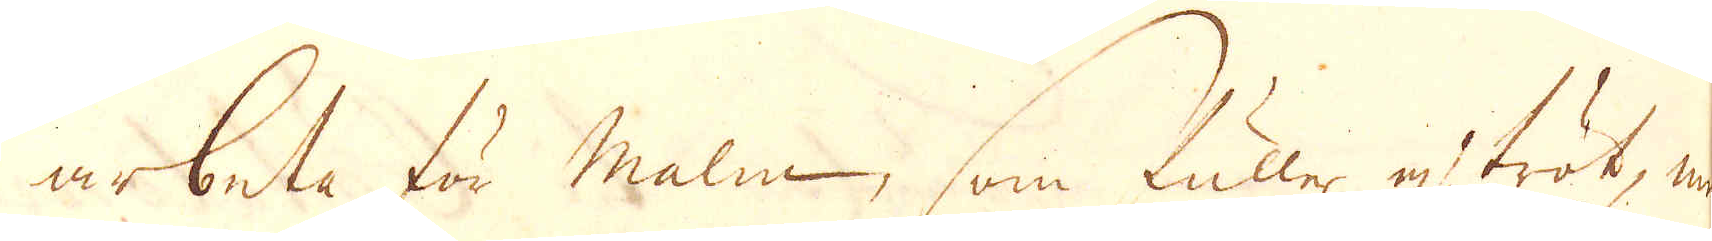arbeta för malm, som fuller ej tröt, men
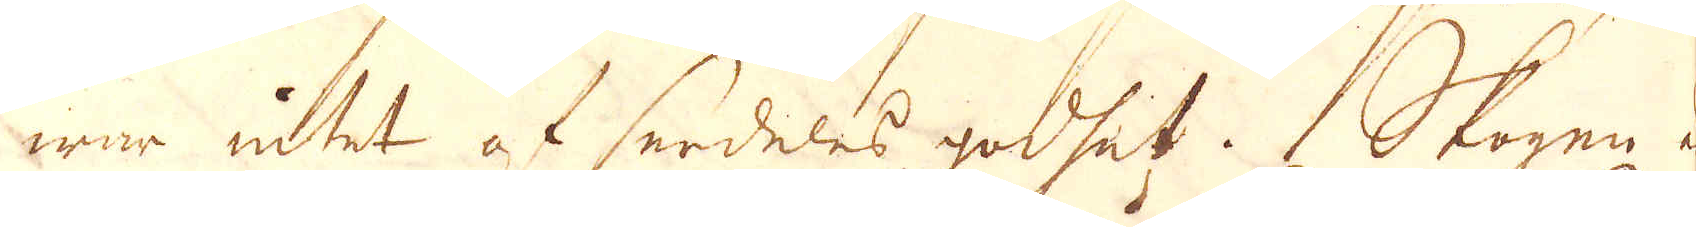war intet af serdeles godhet. Skogen a
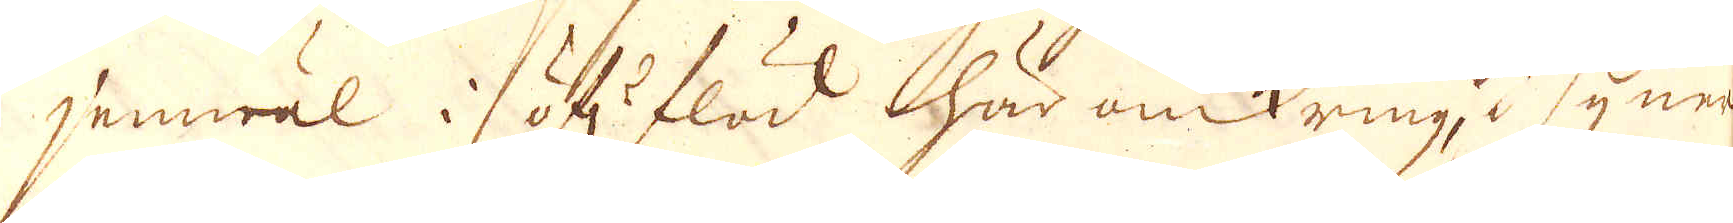jemwäl i öf:r flöd här omkring, i synner-
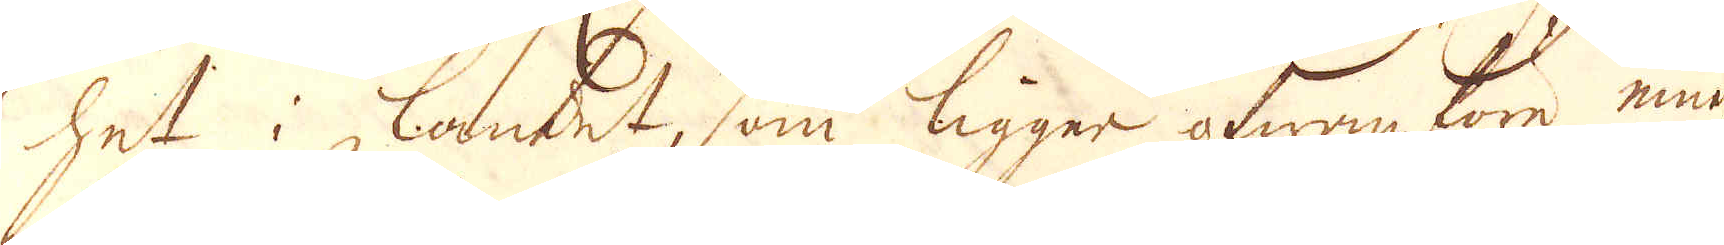het i landet, som ligger ofwanföre eme
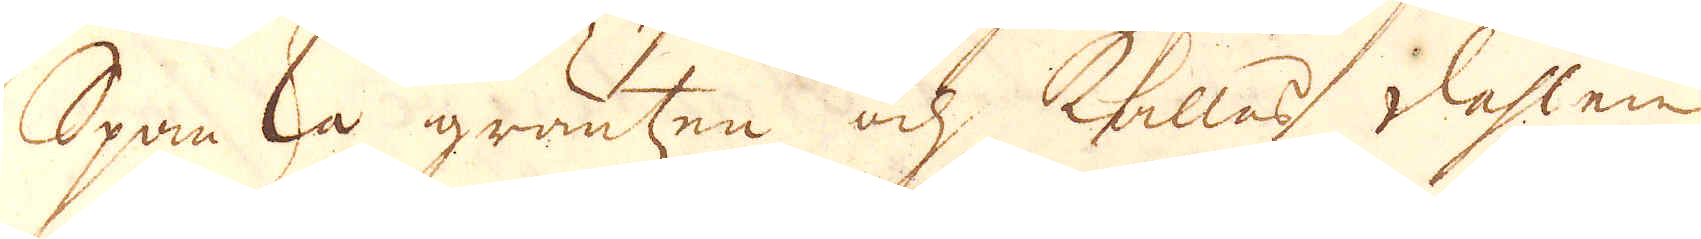Spanska gräntzen och kallas dahlen
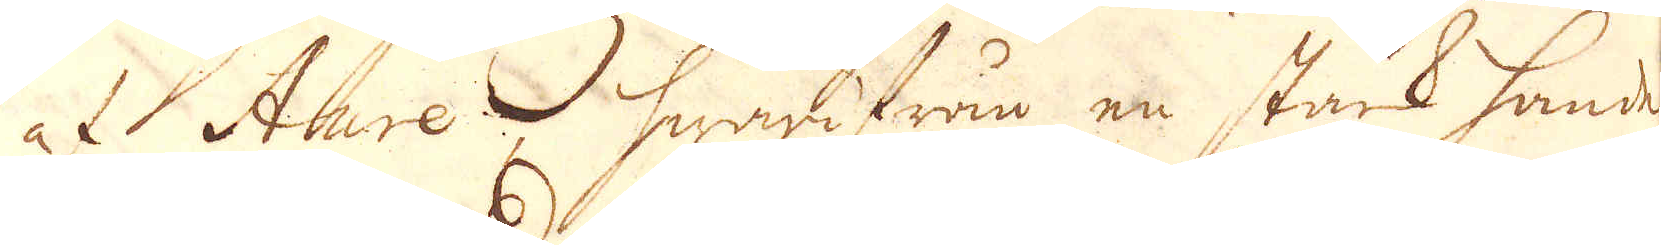at Aure hwarifråm en stark handel
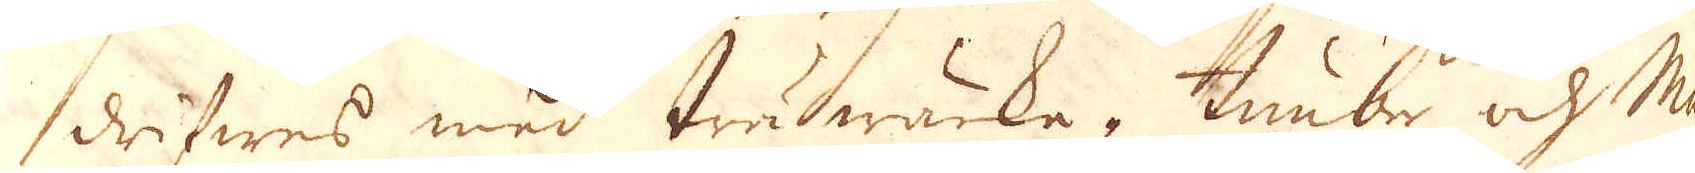drifwes med träwärka, timber och Ma-
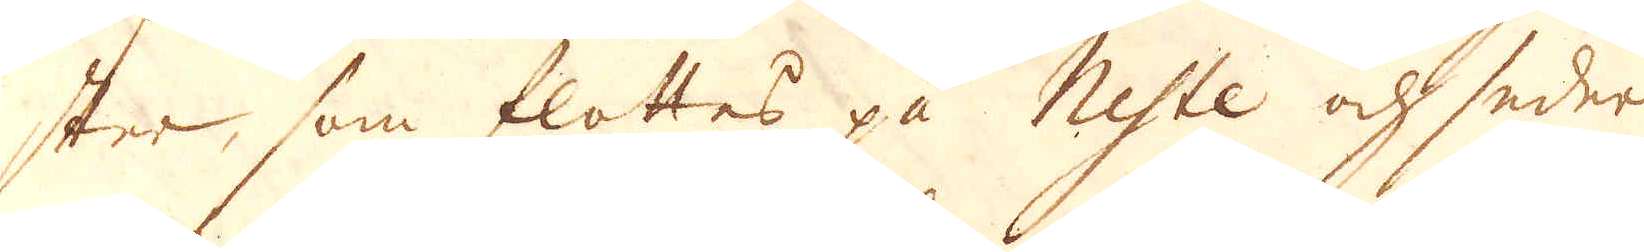ster, som flottes på Neste och seder-
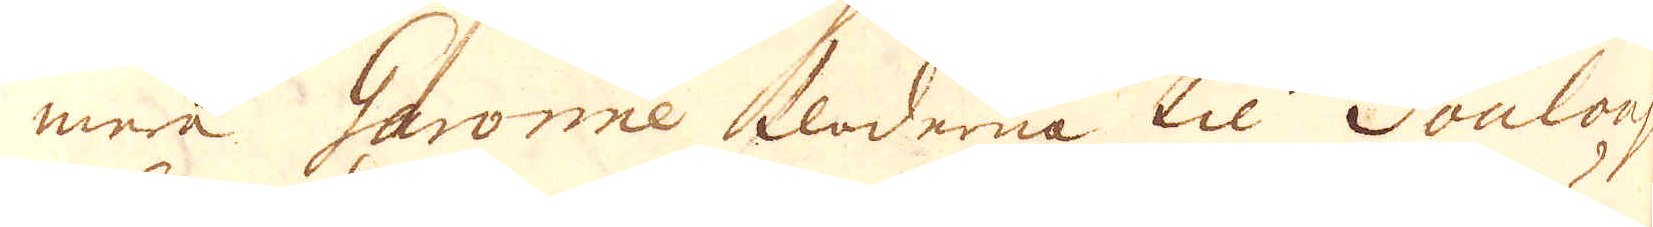mera Garonne floderna til Toulous
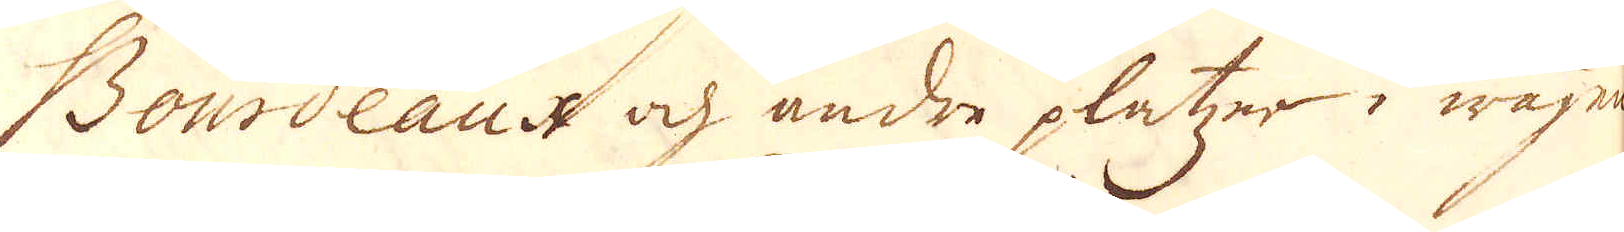Bourdeaux och andre platzer i wägen.
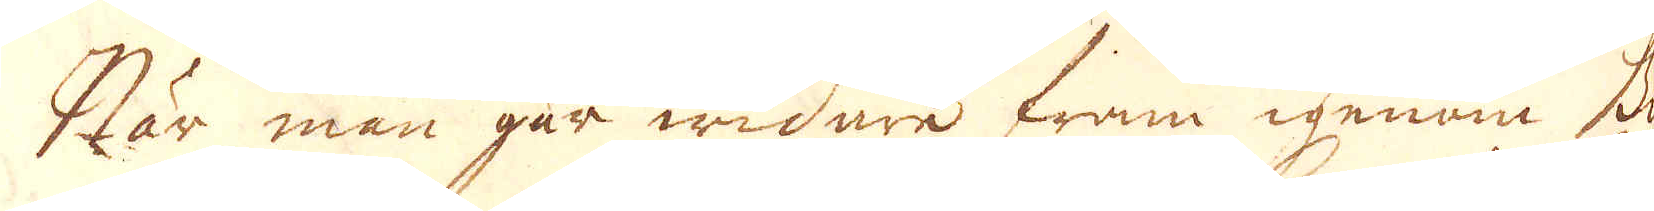När man går widare fram igenom Bi-
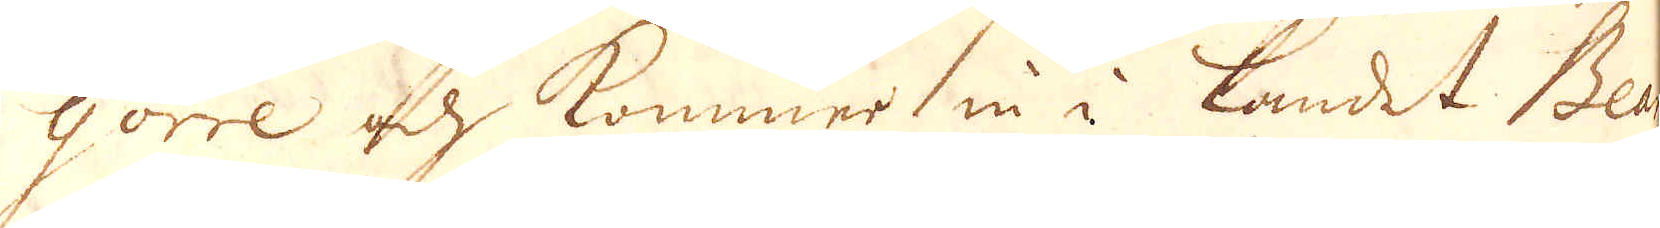gorre och kommer in i landet Bea
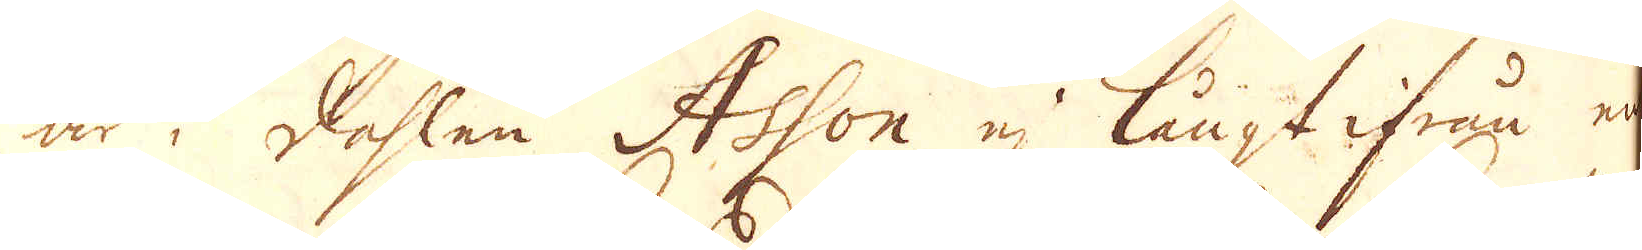är i dahlen Ashon ej långt ifrån en
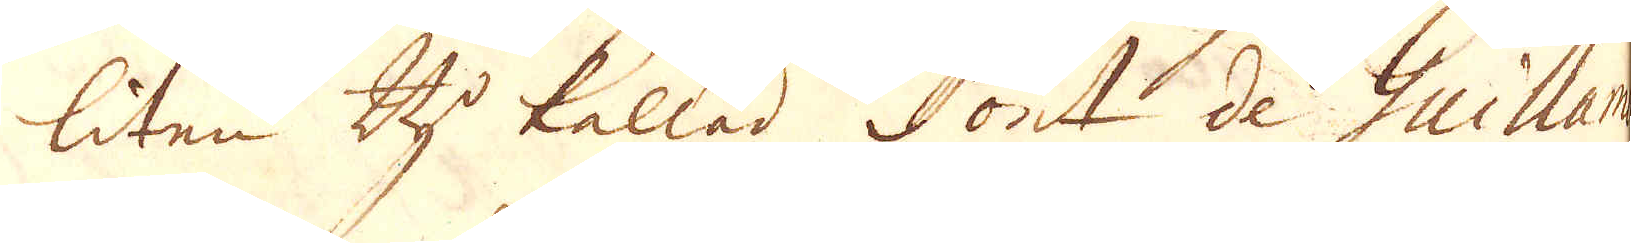liten By kallad Pont de Guillan
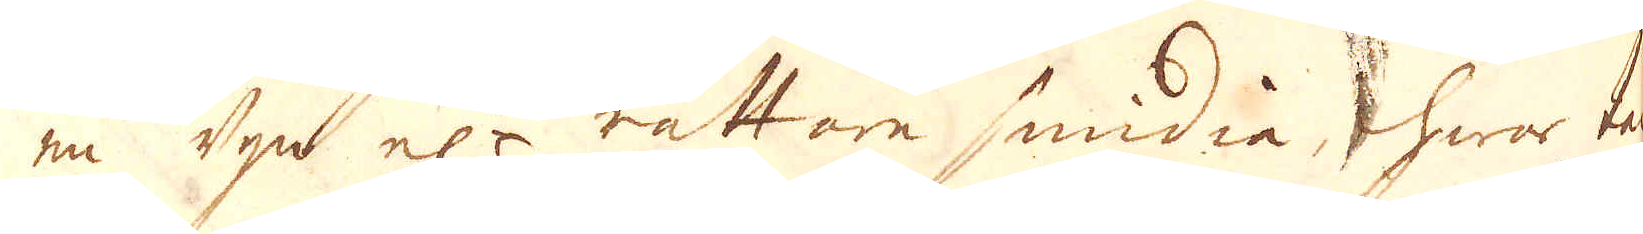en ugn el:r rättare smidia, hwar tack
